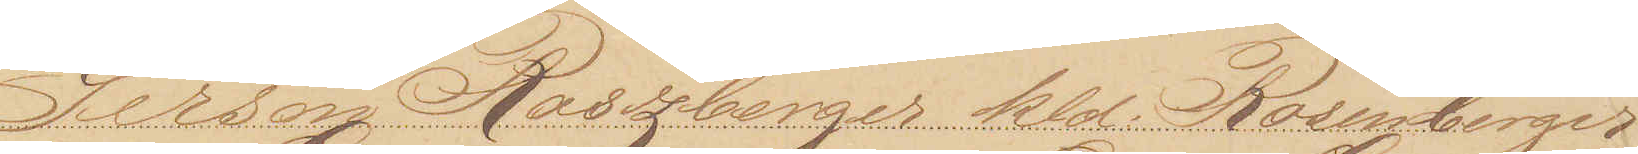Gerson Roszberger kld. Rosenberger
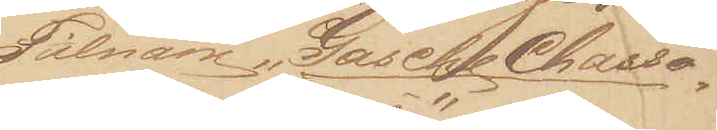Tilnavn "Gasche Chasso¬
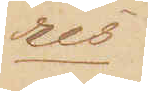res"
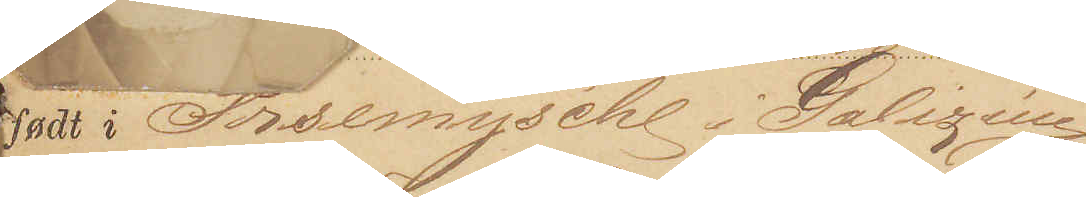Født i: Prsemÿschl i Galizien
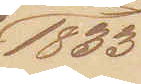1833
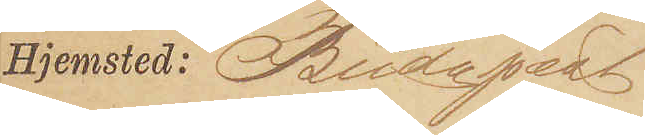Hjemsted: Budapest
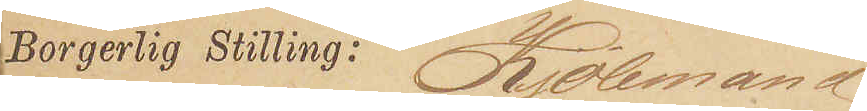Borgerlig Stilling: Kjøbmand
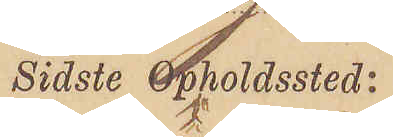Sidste Opholdssted:
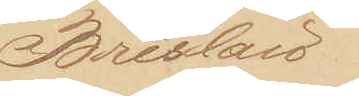Breslau
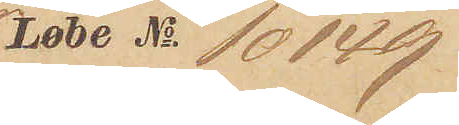Løbe No 10149
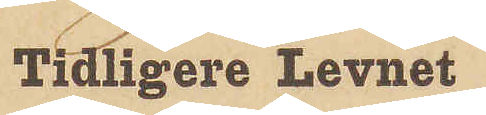Tidligere Levnet
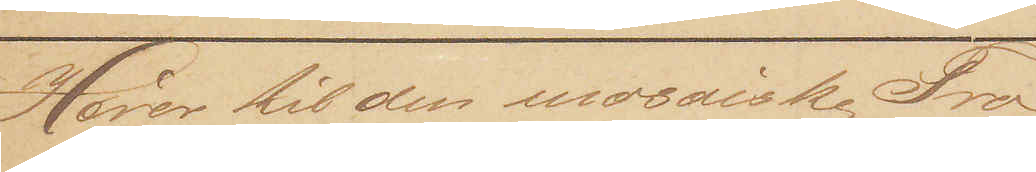Hører til den mosaiske Tro,
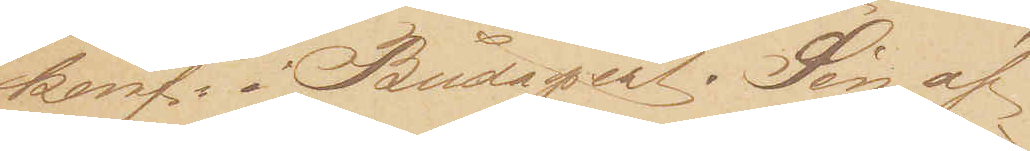konf. i Budapest. Søn af
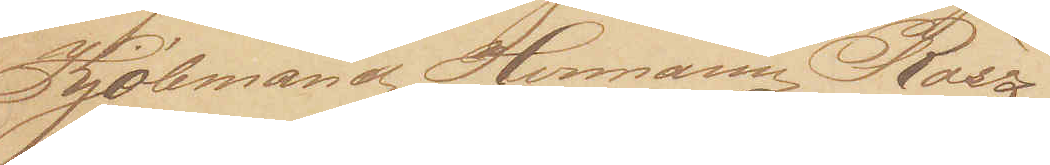Kjøbmand Herman Rosz¬
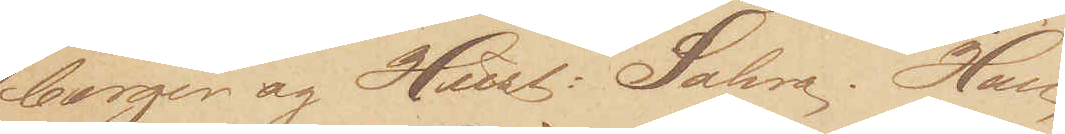berger og Hust: Sahra. Han
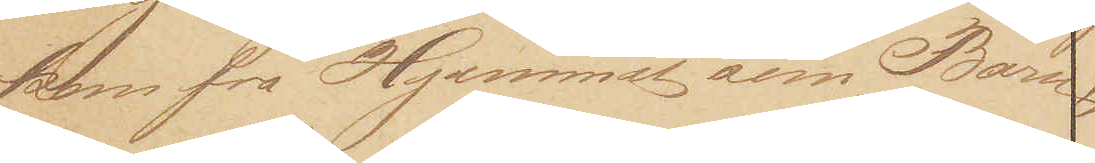kom fra Hjemmet som Barn,
